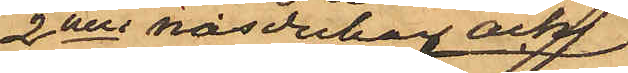2nne näsdukar och
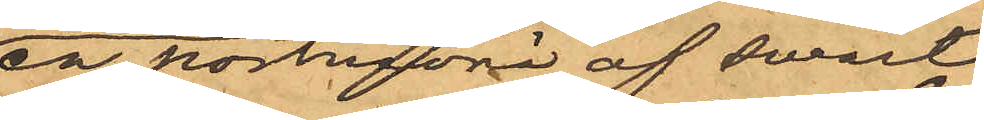en portmonä af swart
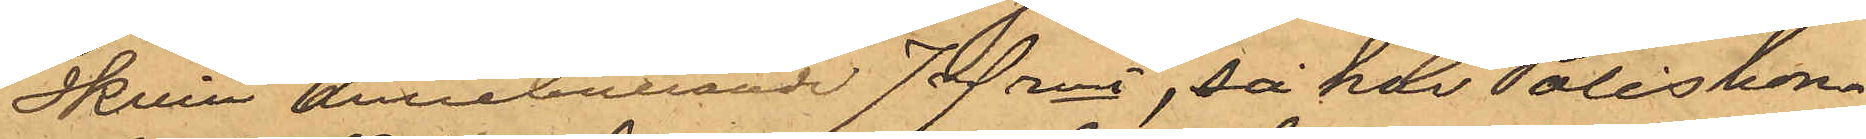Skinn innehållande 7 rdr rmt, så har Poliskon¬
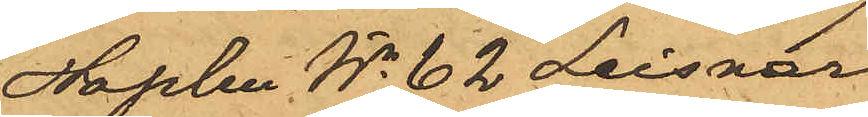staplen No 62 Leisnar
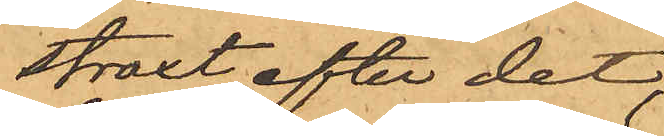straxt efter det,
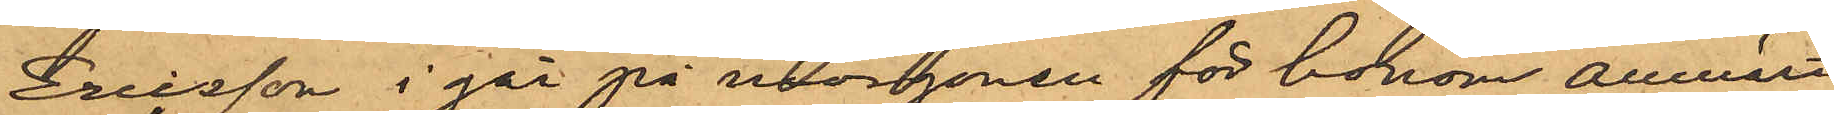Ericsson i går på morgonen för honom anmält
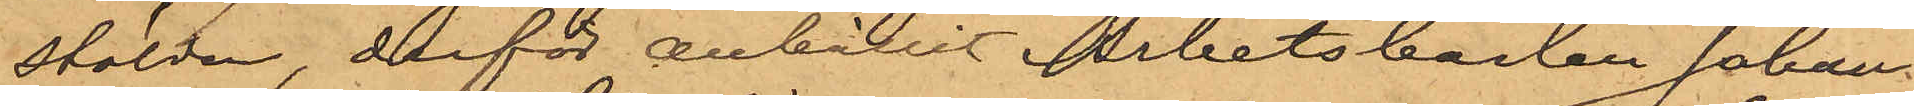stölden, derför anhållit Arbetskarlen Johan
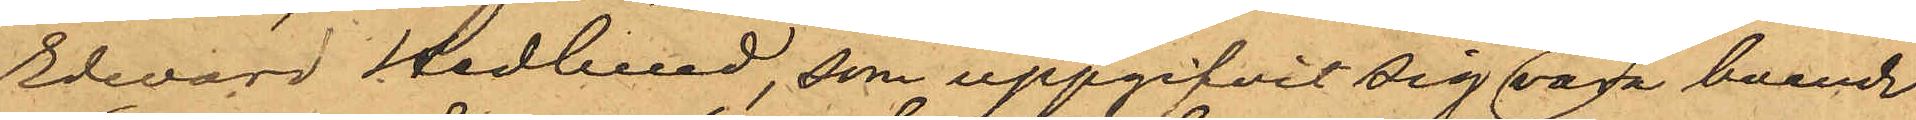Edvard Hedlund, som uppgifvit sig vara boende
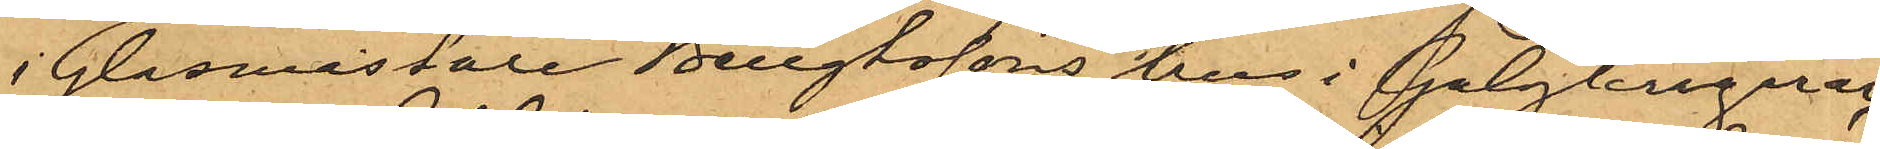i Glasmästare Bengtssons hus i Galgkrogerar,
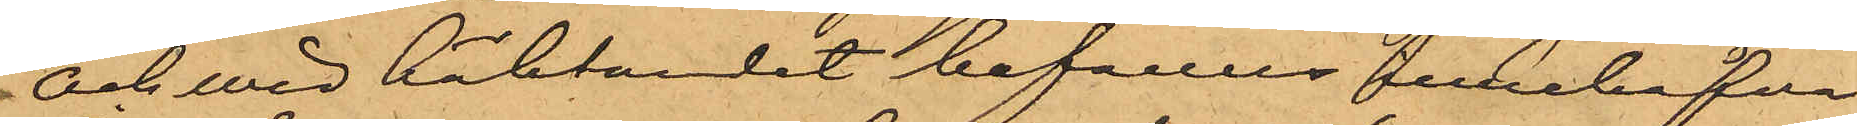och wid häktandet befanns innehafva
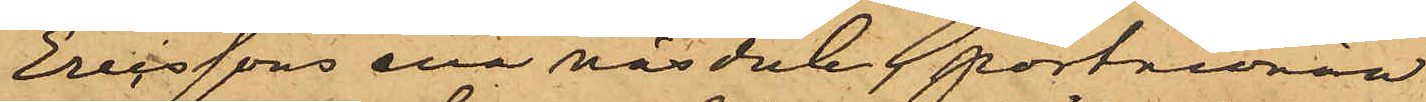Ericssons ena näsduk, portmonän,
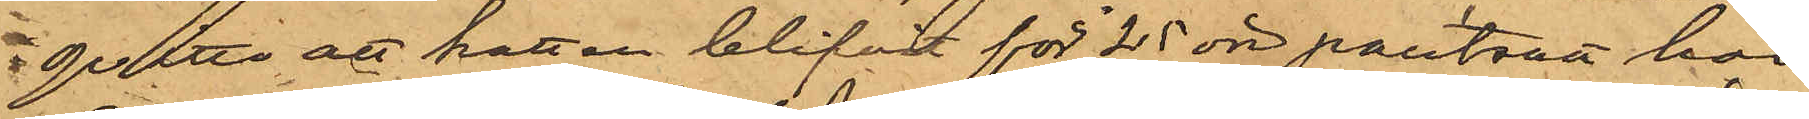qvitto att hatten blifvit för 25 öre pantsatt hos
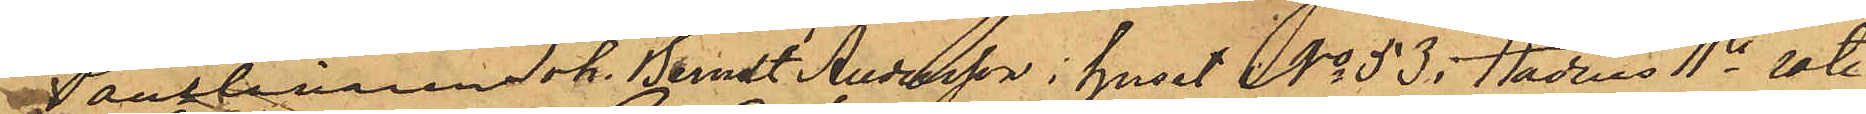Pantlånaren Joh. Berndt Andersson i huset No 53 i stadens 11te rote
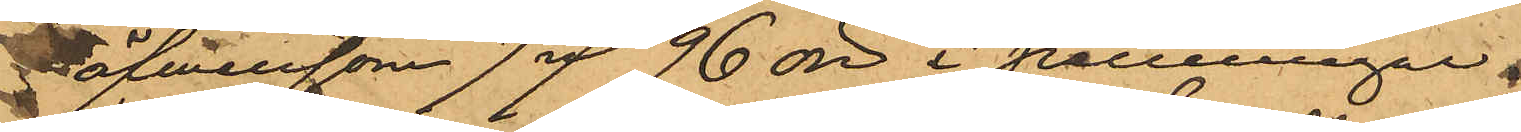äfwensom 7 rdr 96 öre i penningar.
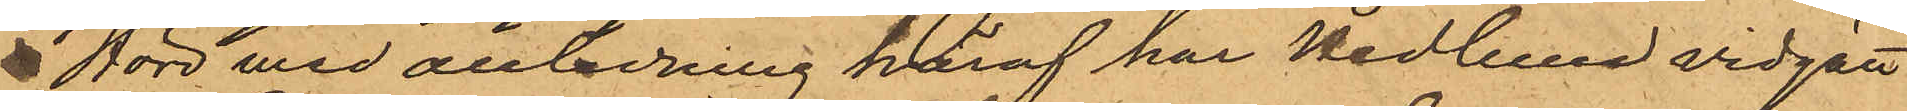Hörd med anledning häraf har Hedlund vidgått
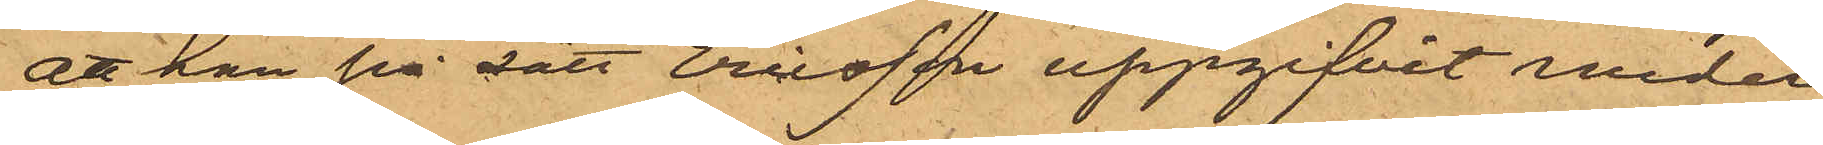att han på sätt Ericsson uppgifvit under
